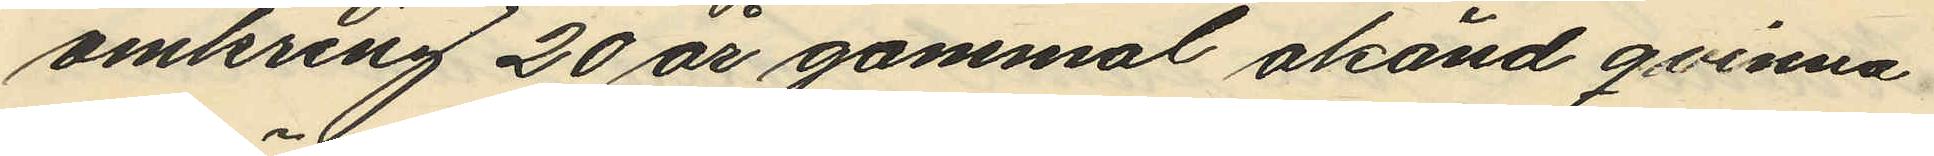omkring 20 år gammal okänd qvinna
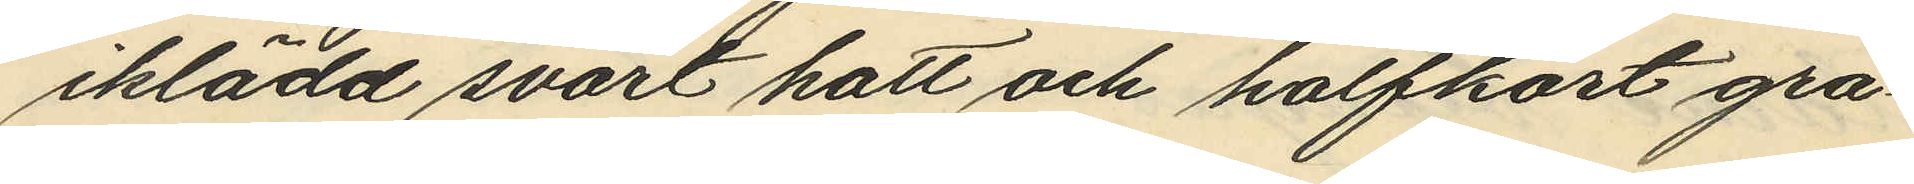iklädd svart hatt och halfkort grå¬
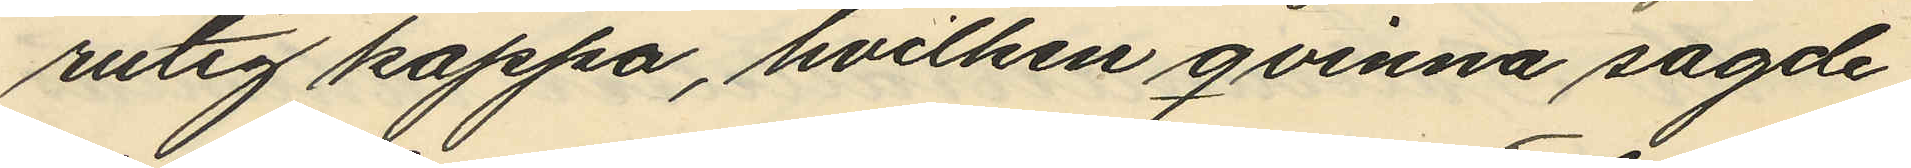rutig kappa, hvilken qvinna sagde
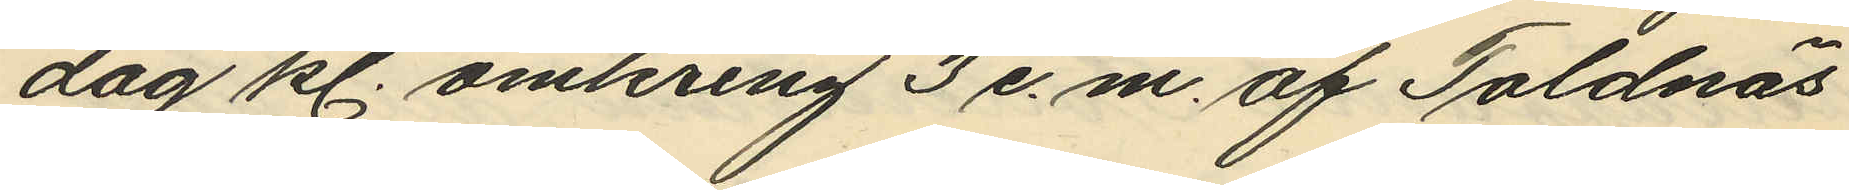dag kl. omkring 3 e.m. af Toldnäs
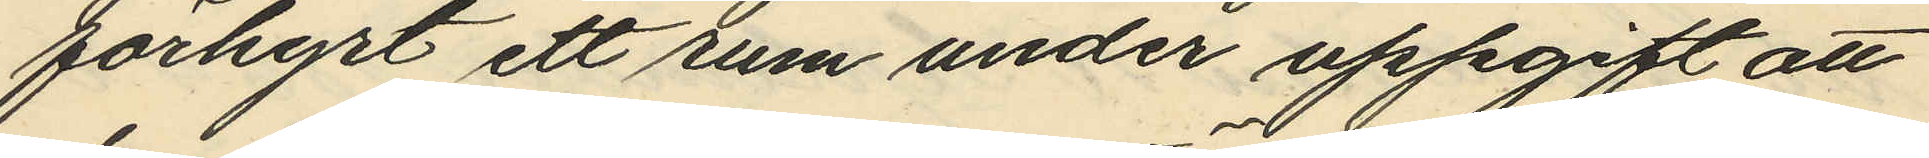förhyrt ett rum under uppgift att
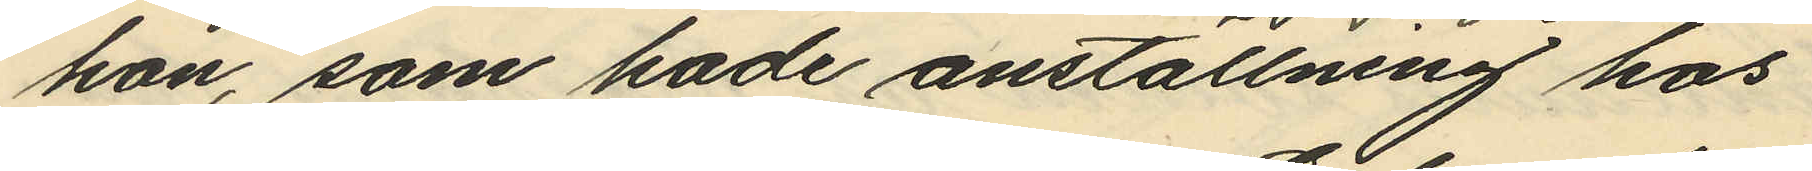hon, som hade anställning hos
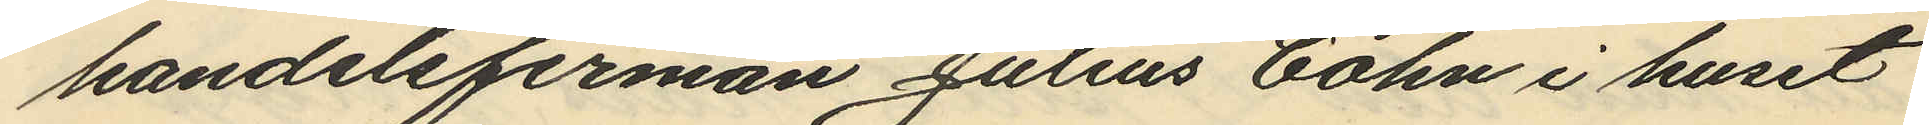handelsfirman Julius Cohn i huset
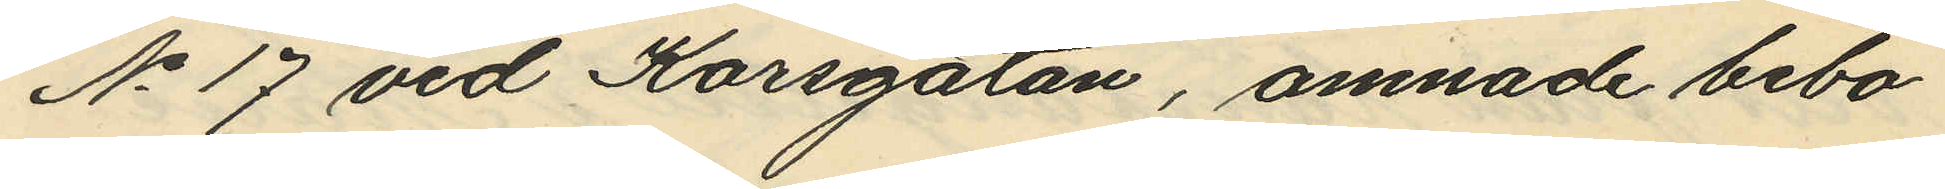No 17 vid Korsgatan, ämnade bebo¬
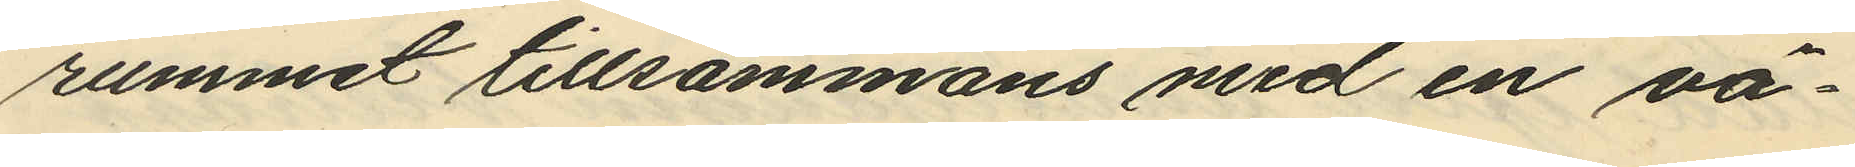rummet tillsammans med en vä¬
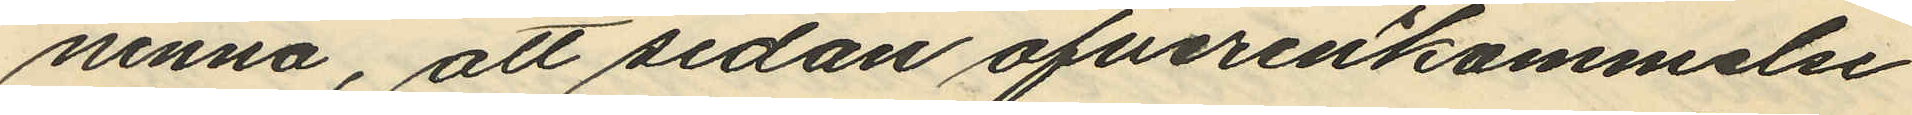ninna, att sedan öfverenkommelse
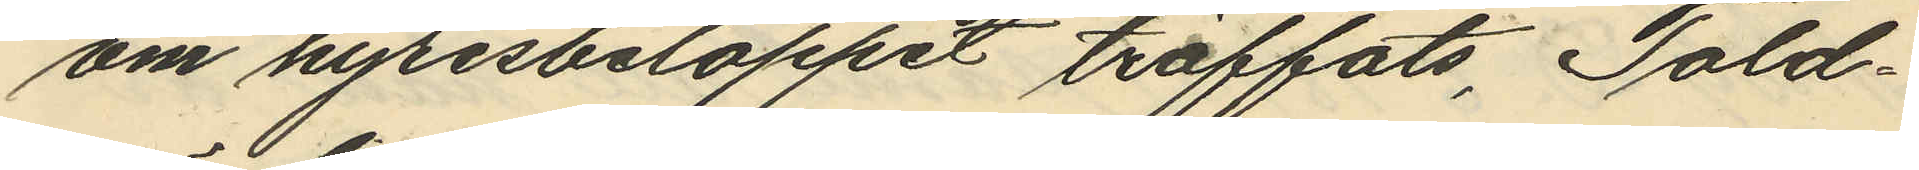om hyresbeloppet träffats, Told¬
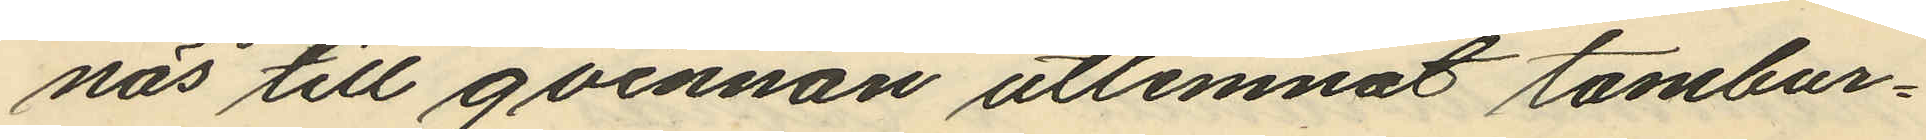näs till qvinnan utlemnat tambur¬
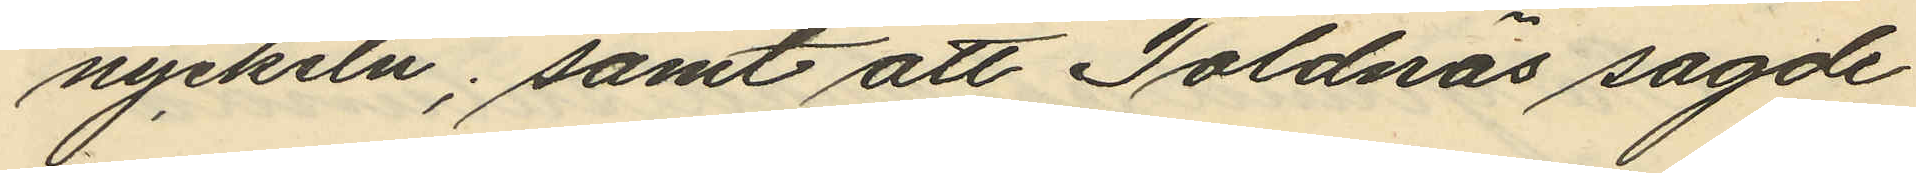nyckeln; samt att Toldnäs sagde
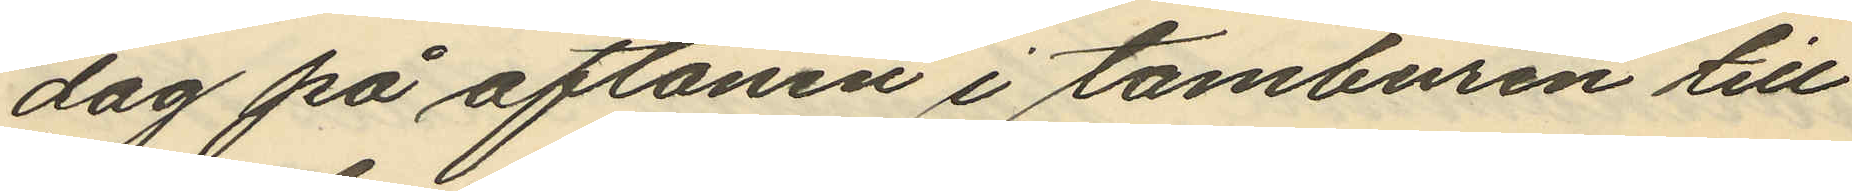dag på aftonen i tamburen till
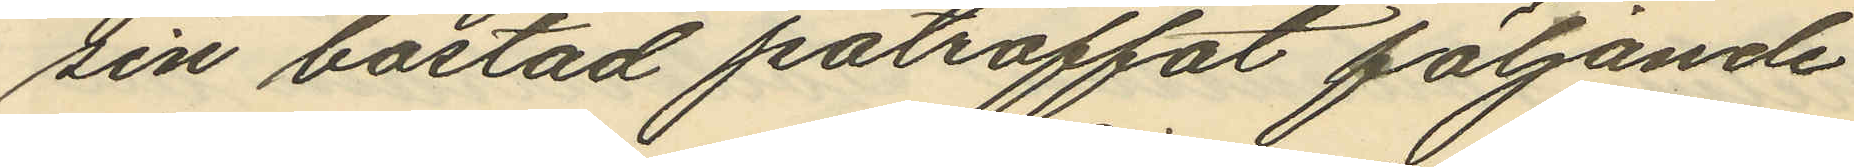sin bostad påträffat följande
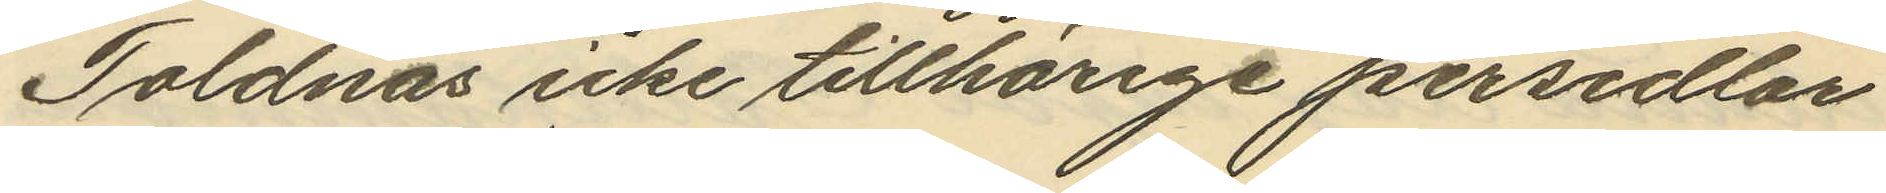Toldnäs icke tillhörige persedlar
